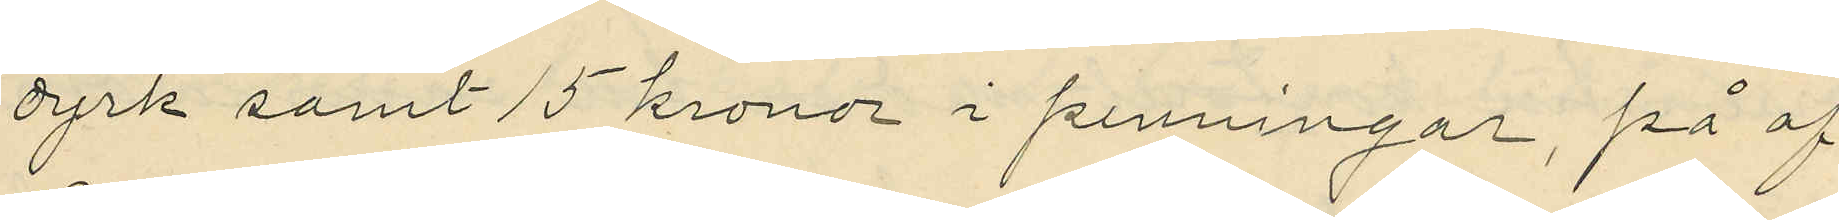dyrk samt 15 kronor i penningar, på af
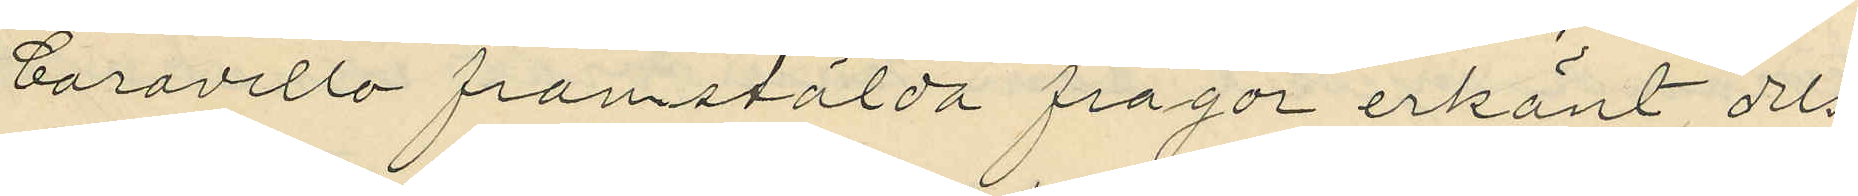Caravello framstälda frågor erkänt, dels
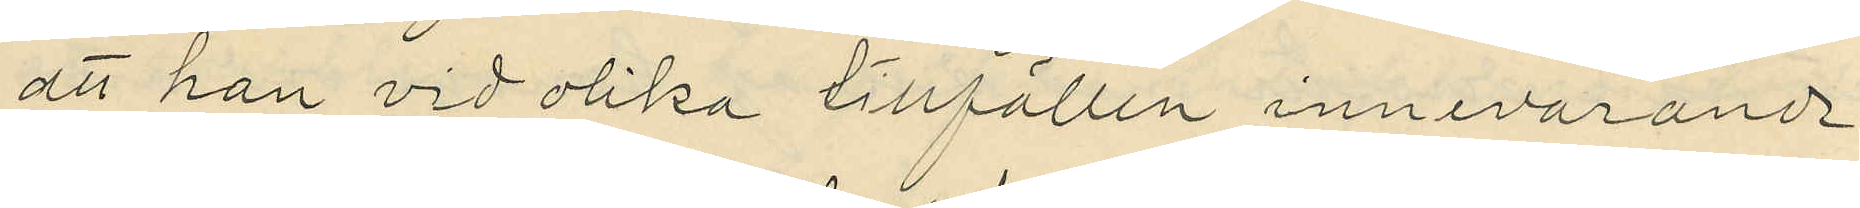att han vid olika tillfällen innevarande
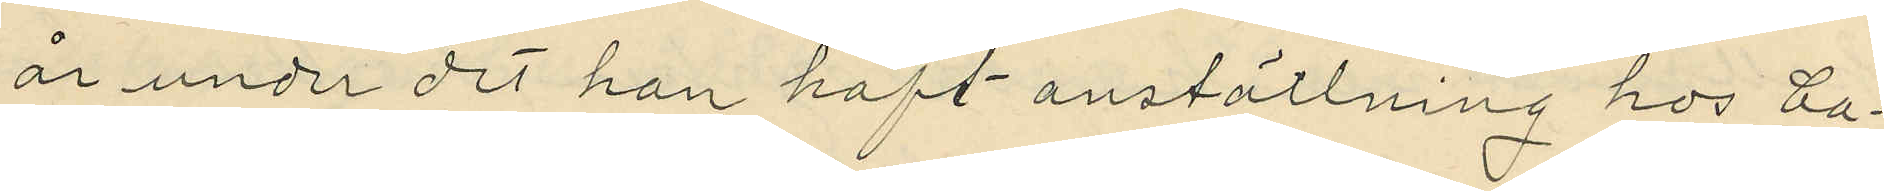år under det han haft anställning hos Ca¬
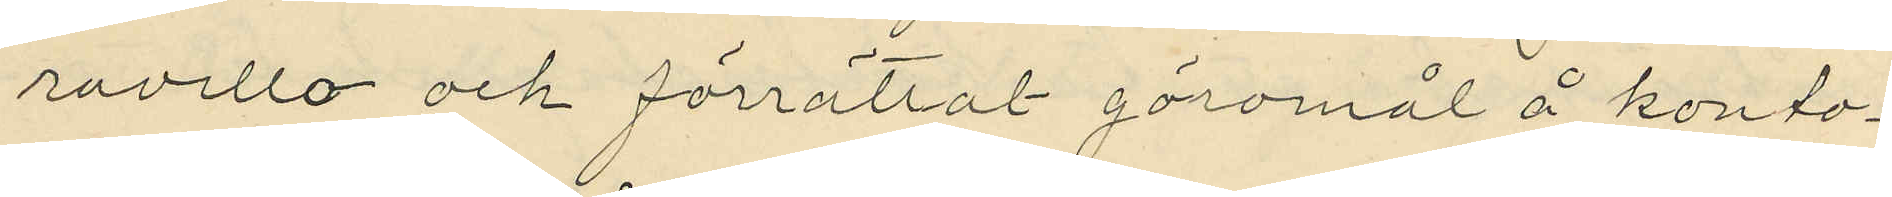ravello och förrättat göromål å konto¬
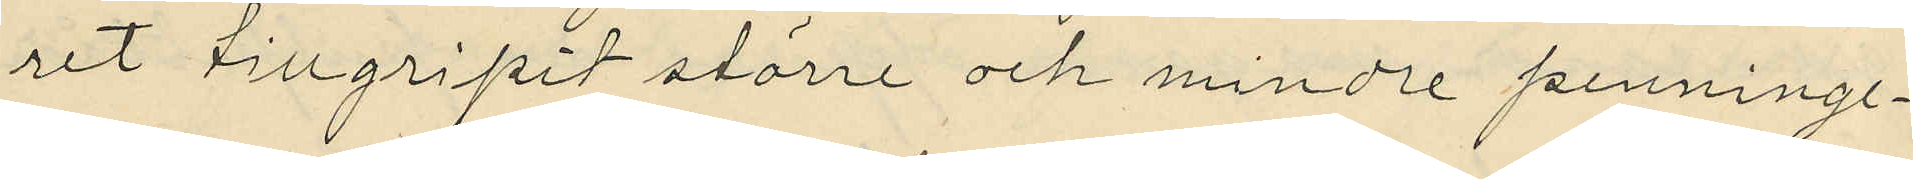ret tillgripit större och mindre penninge¬
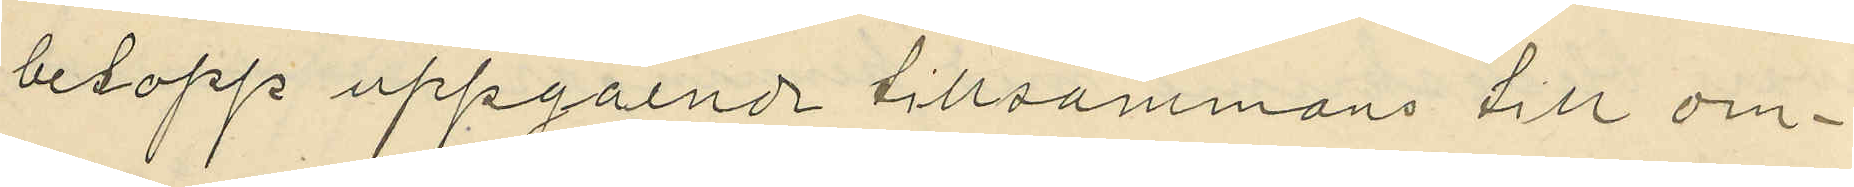belopp uppgående tillsammans till om¬
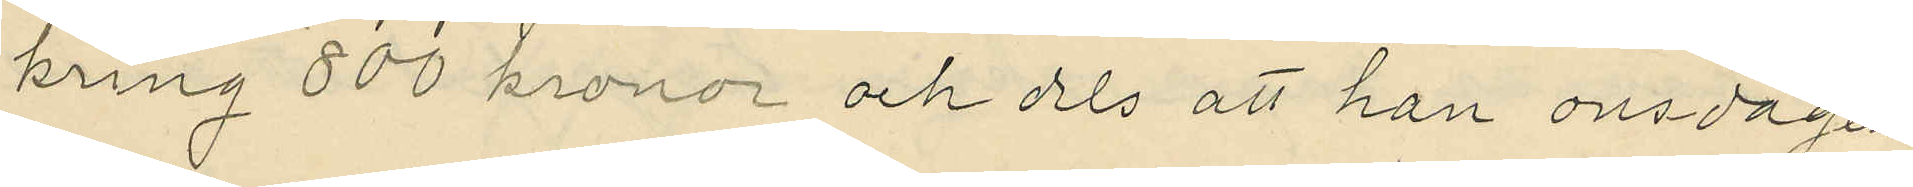kring 800 kronor och dels att han onsdagen
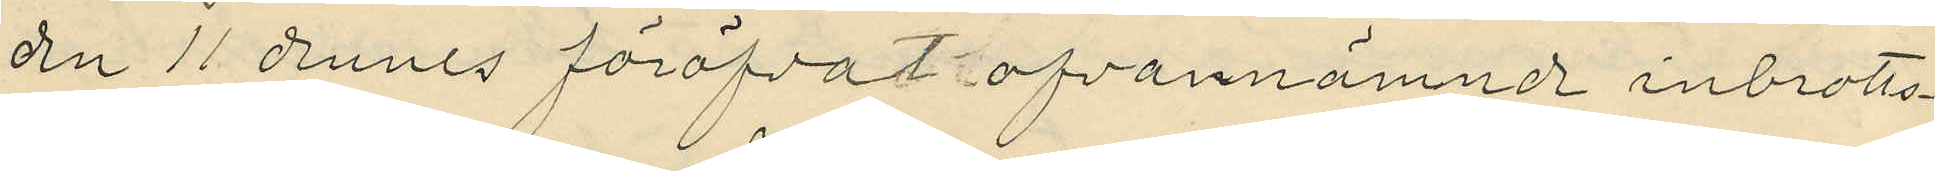den 11 dennes föröfvat ofvannämnde inbrotts¬
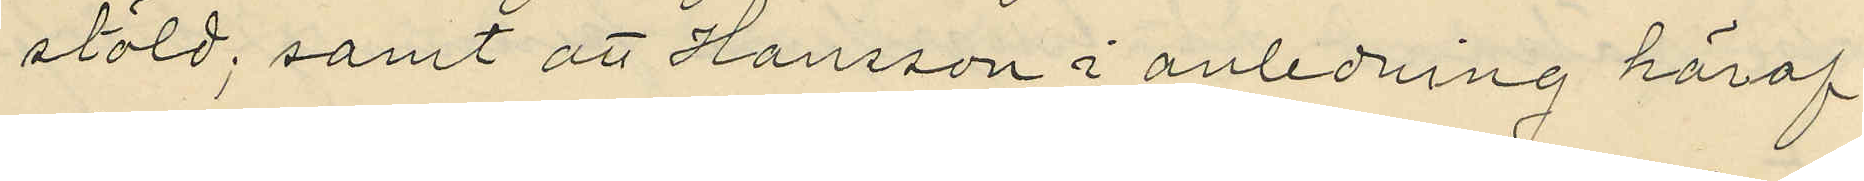stöld; samt att Hansson i anledning häraf
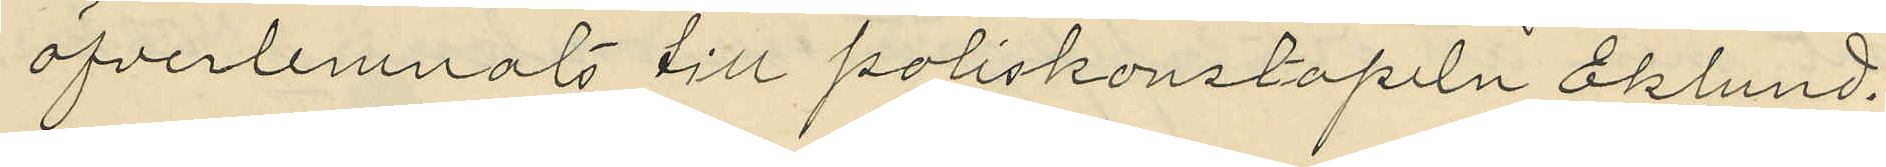öfverlemnats till poliskonstapeln Eklund.
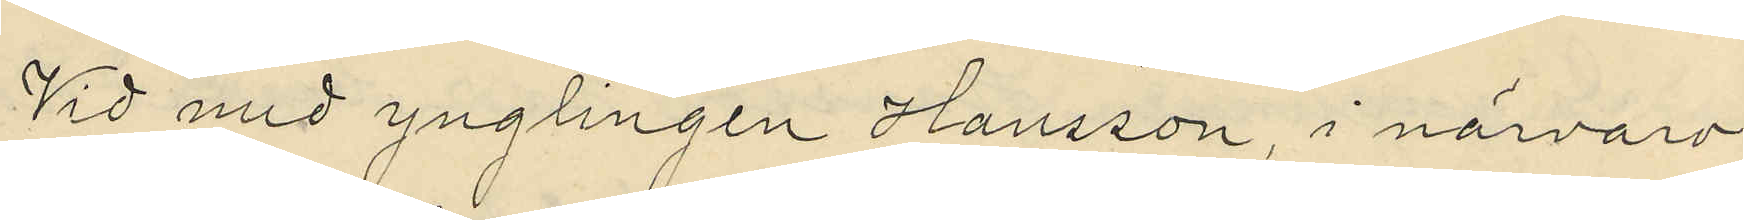Vid med ynglingen Hansson, i närvaro
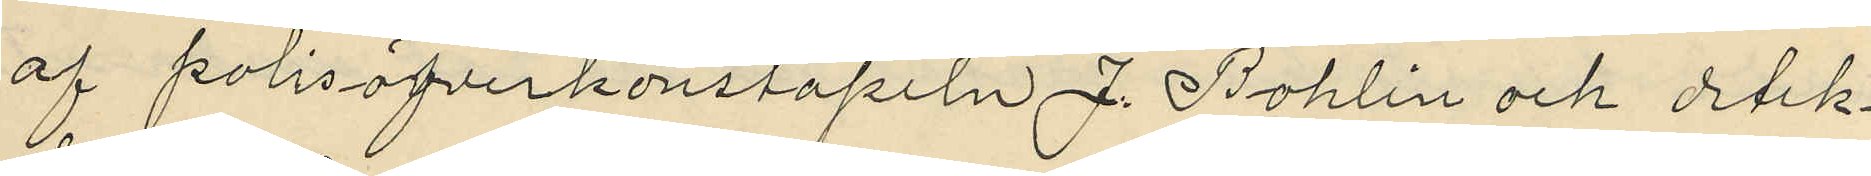af polisöfverkonstapeln J. Bohlin och detek¬
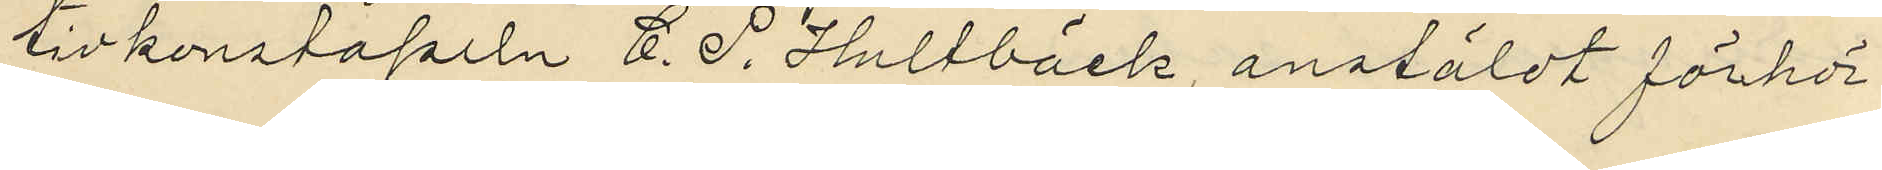tivkonstapeln C. P. Hultbäck, anstäldt förhör
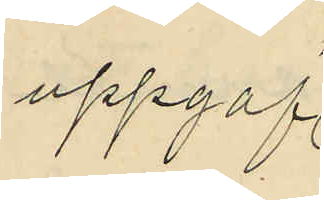uppgaf
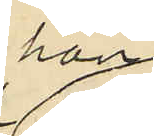han
